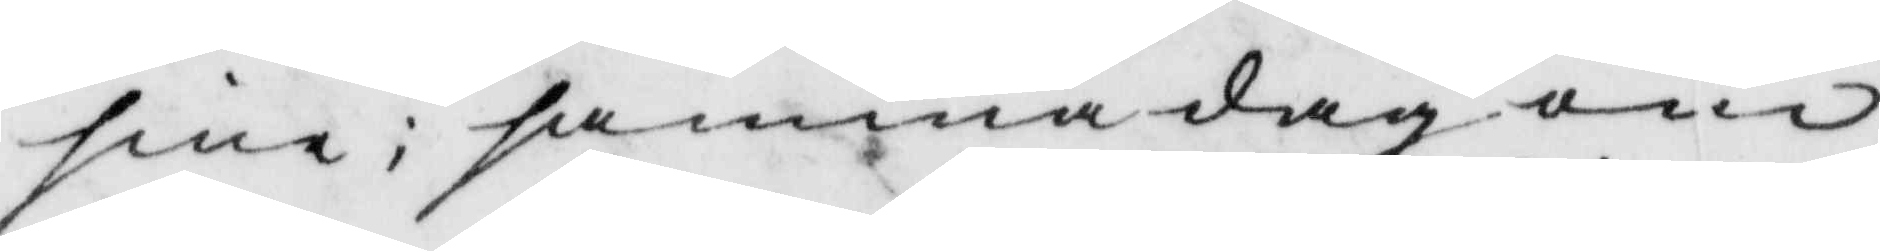sine; samma dag om
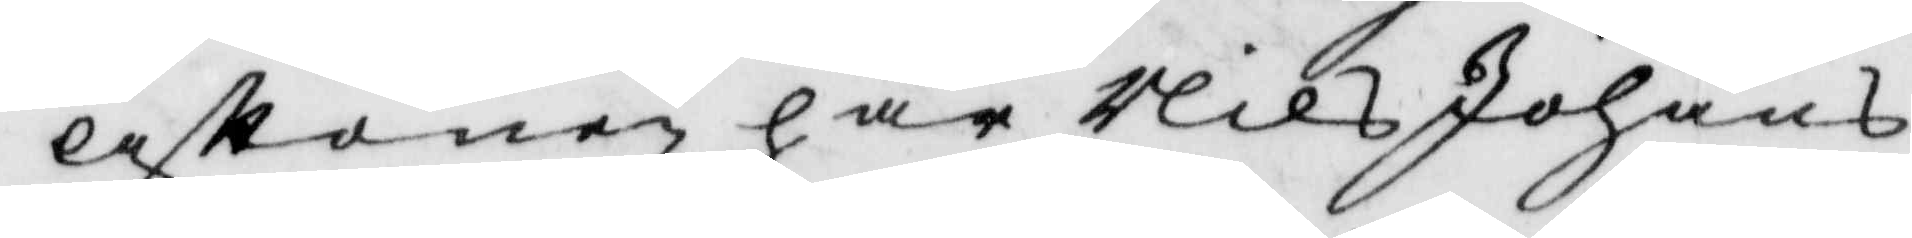aftonen har Nils Johans¬
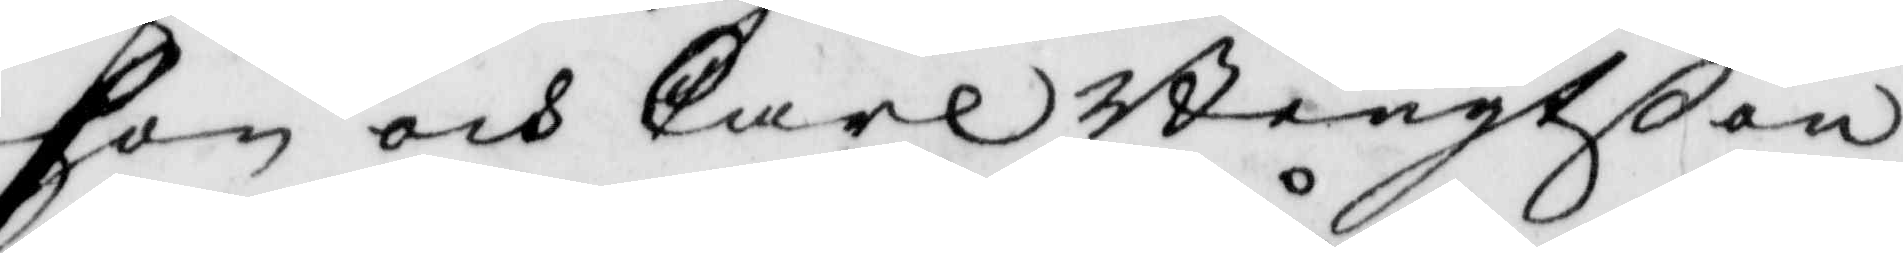son och Carl Bengtßon
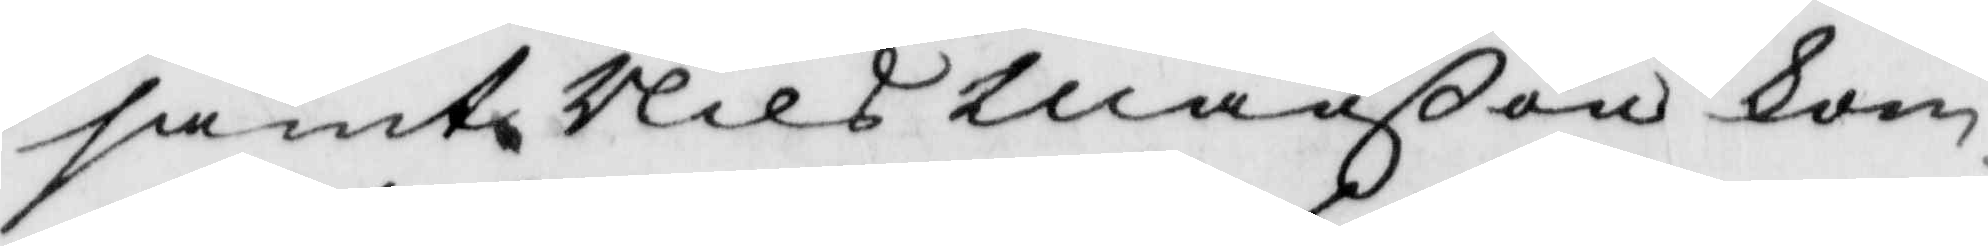samt Nils Månßon kom¬
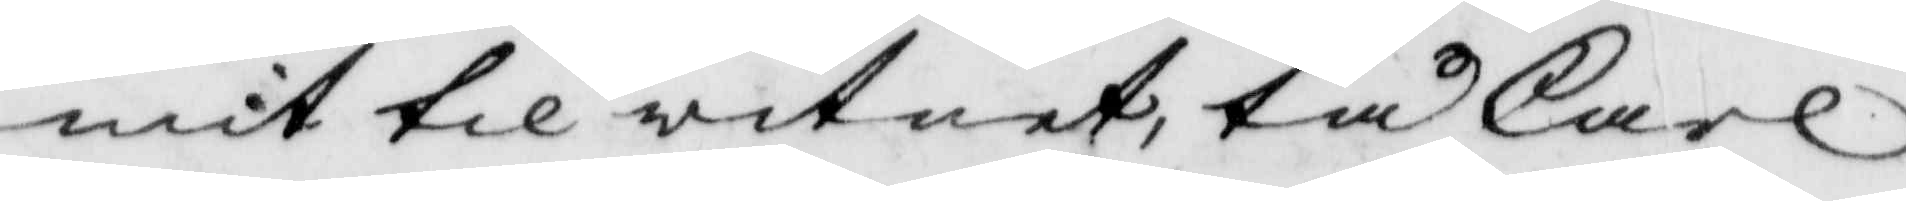mit til witnet, tå Carl
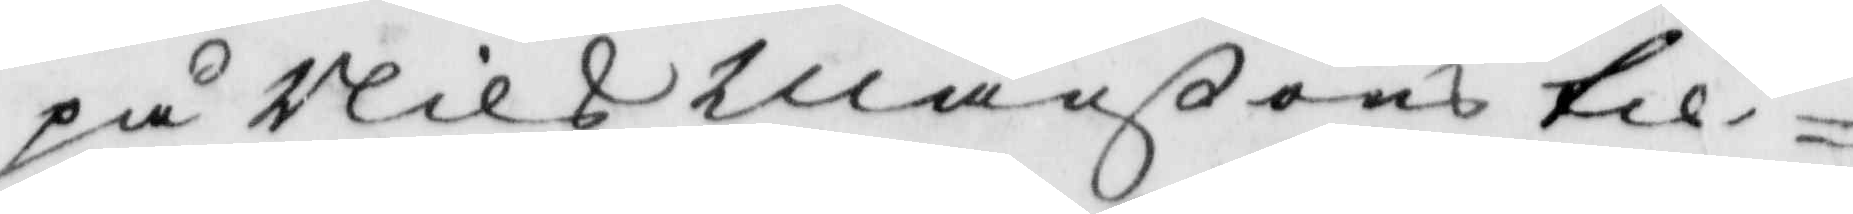på Nils Månßons til¬
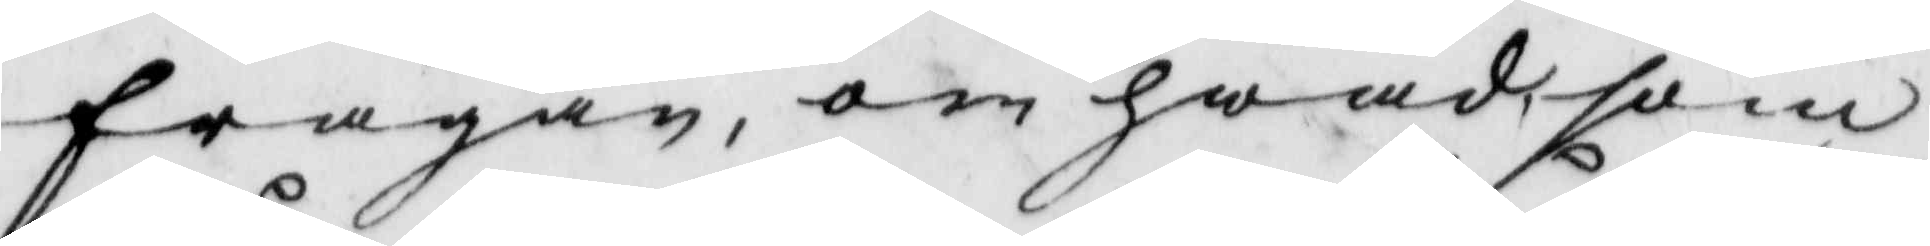frågan, om hwad, som
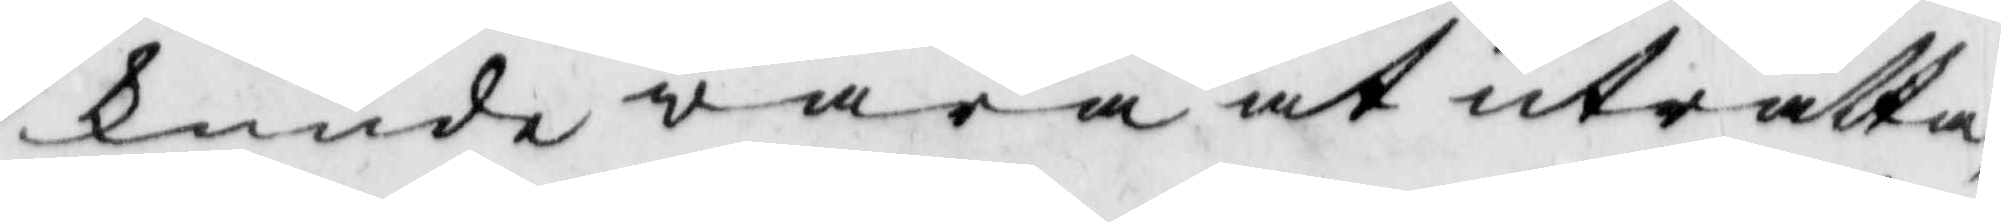kunde wara at uträtta
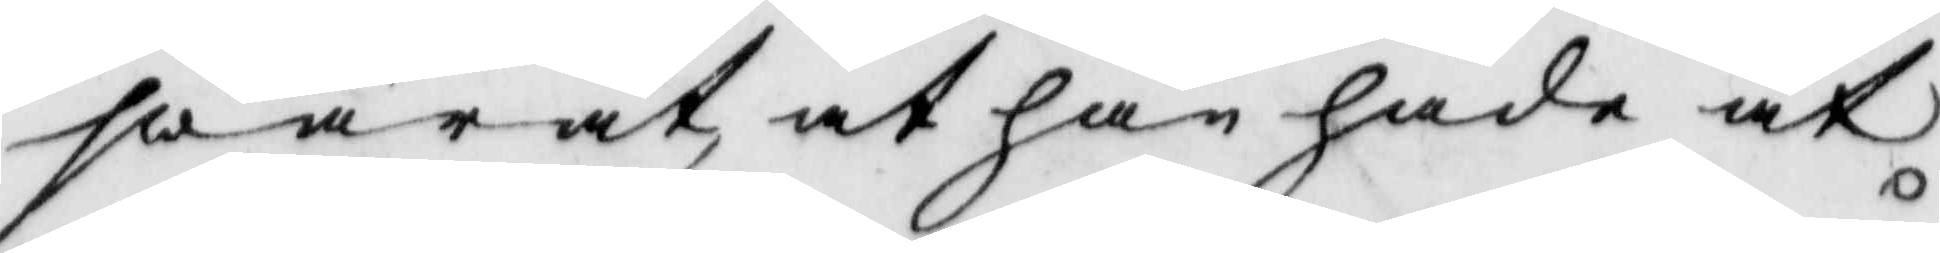swarat, at han hade at
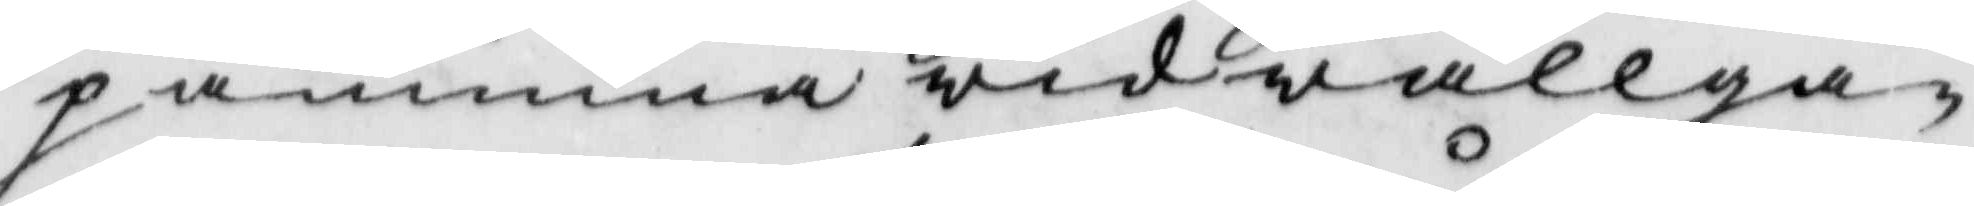påminna wid wallgå¬
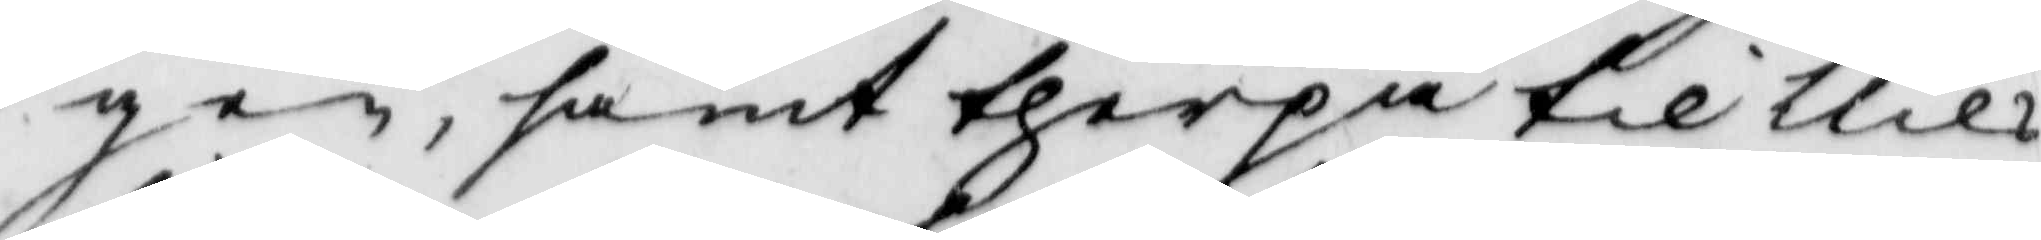gen, samt therpå til Nils
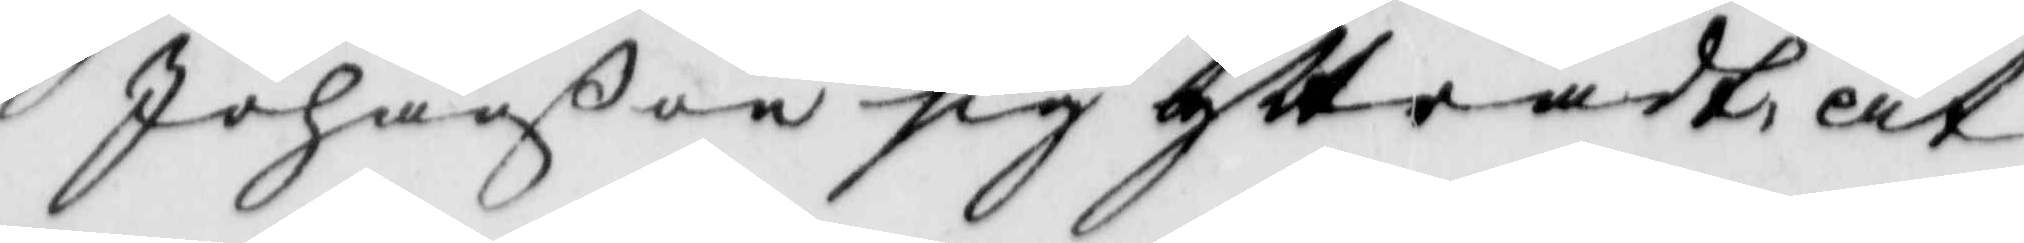Johanßon sig yttradt, at
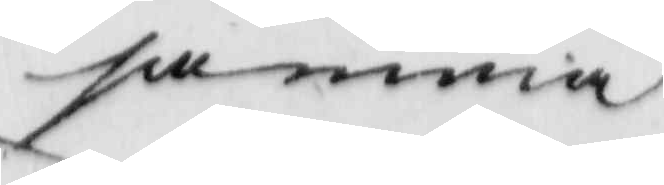samma
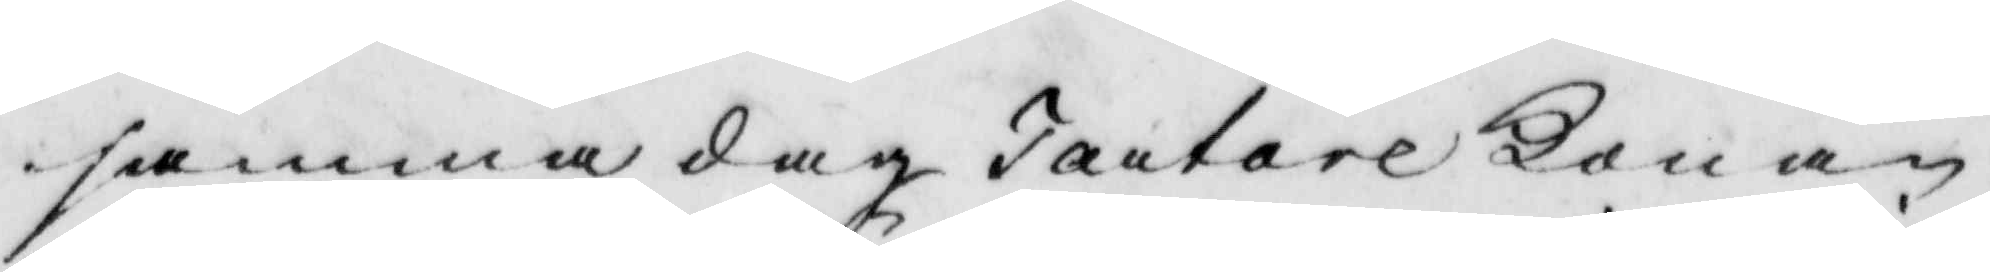samma dag Tartare Konan
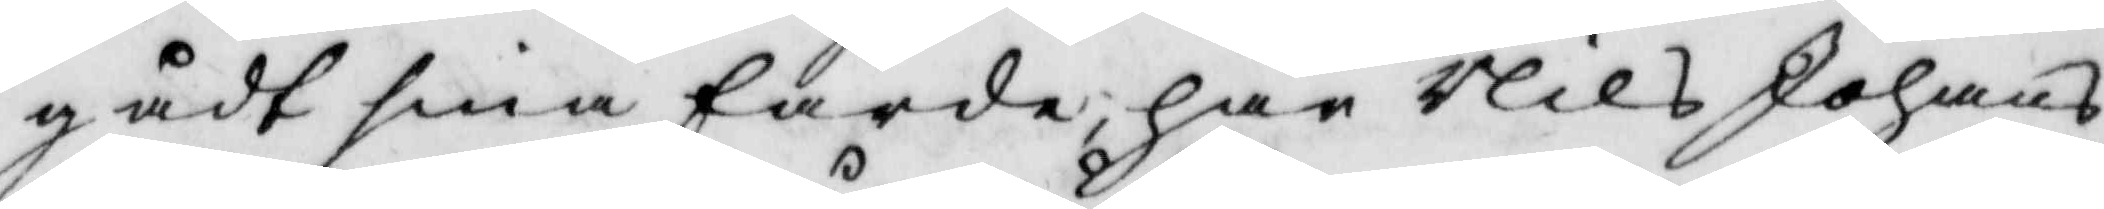gådt sina färde, har Nils Johans¬
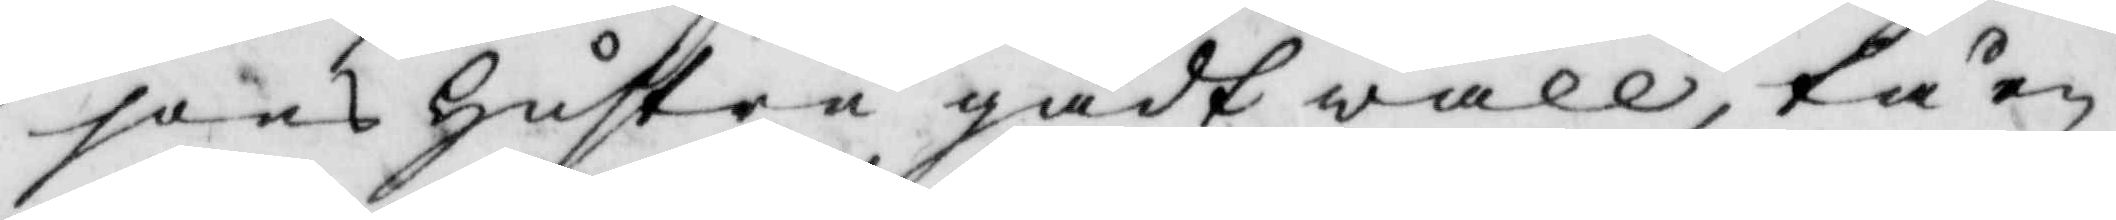sons hsutru gådt wall, tå en
